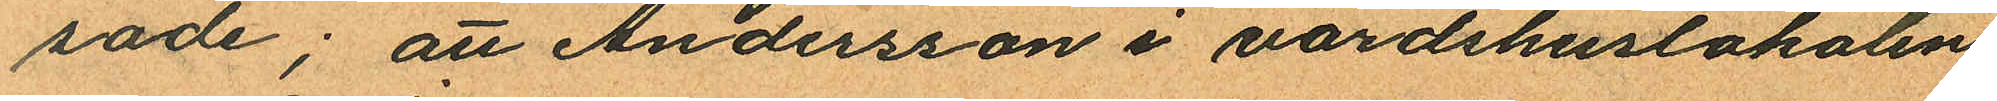sade; att Andersson i värdshuslokalen
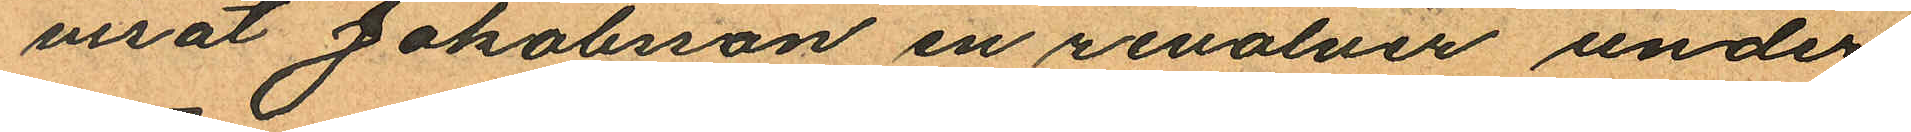verat Jakobsson en revolver under
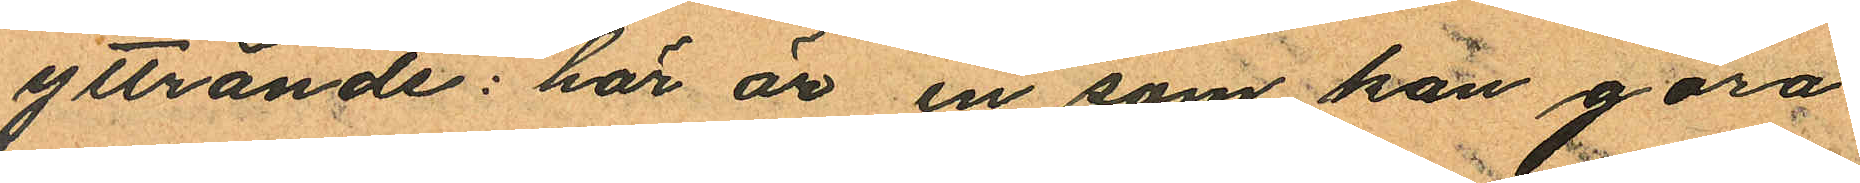yttrande: "här är en som kan göra
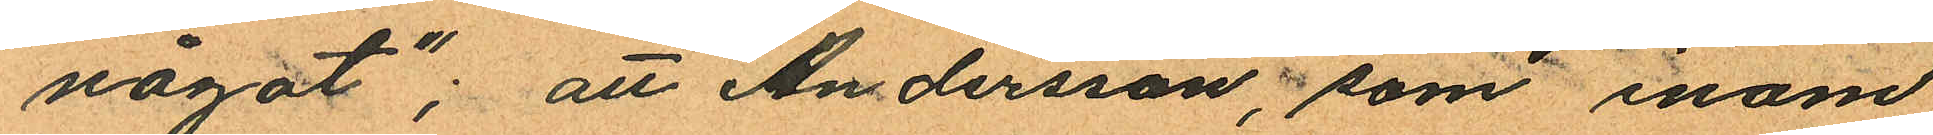något"; att Andersson, som inom
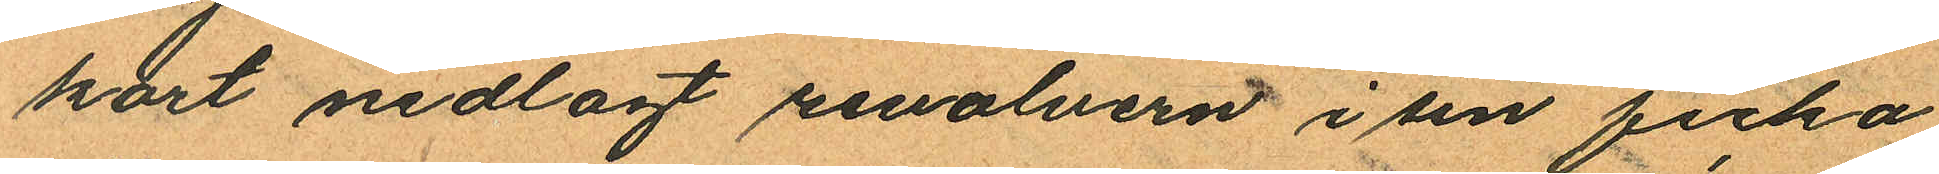kort nedlagt revolvern i sin ficka
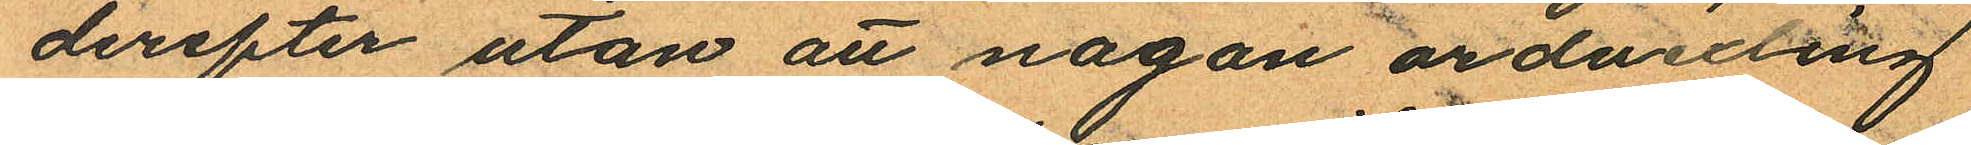derefter utan att nagon ordvexling
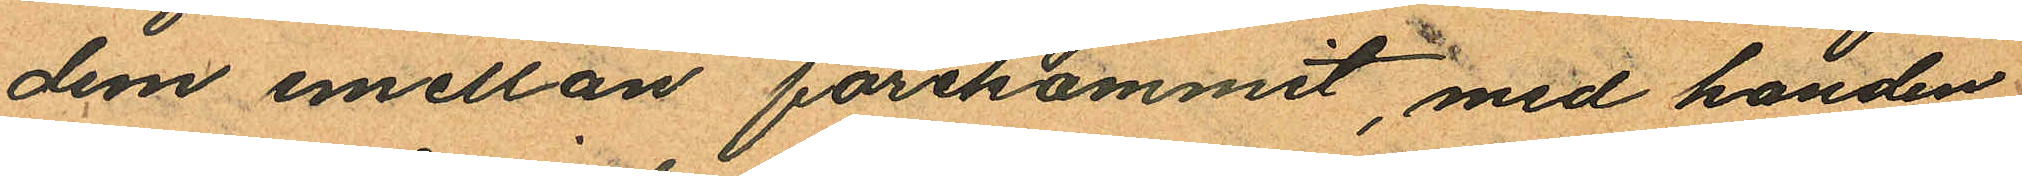dem emellan förekommit, med handen
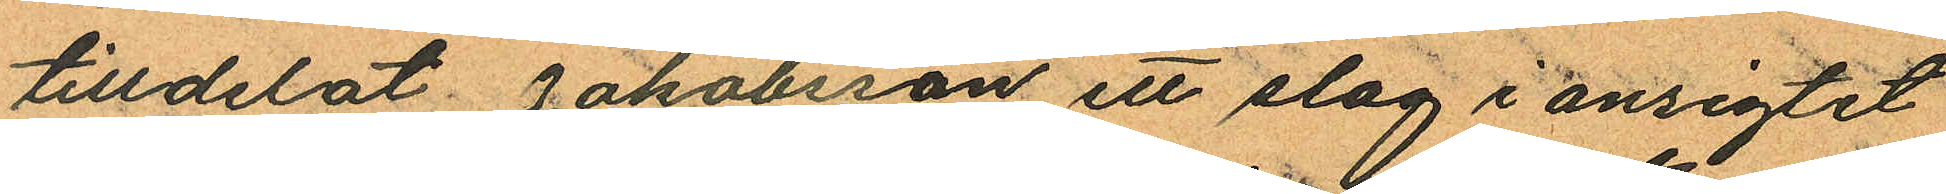tilldelat Jakobsson ett slag i ansigtet
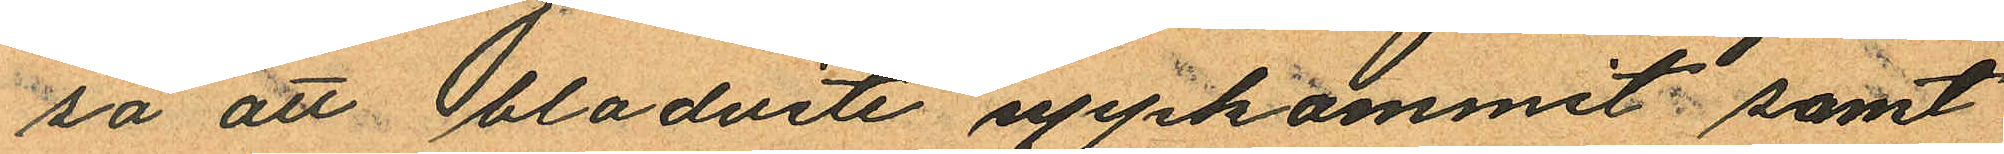så att blodvite uppkommit samt
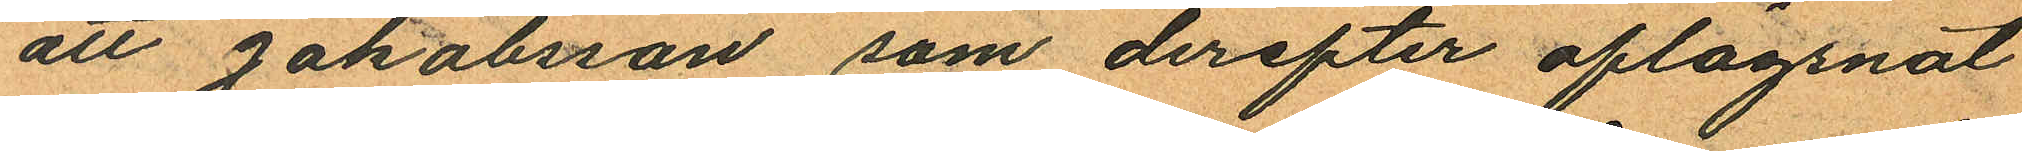att Jakobsson som derefter aflägsnat
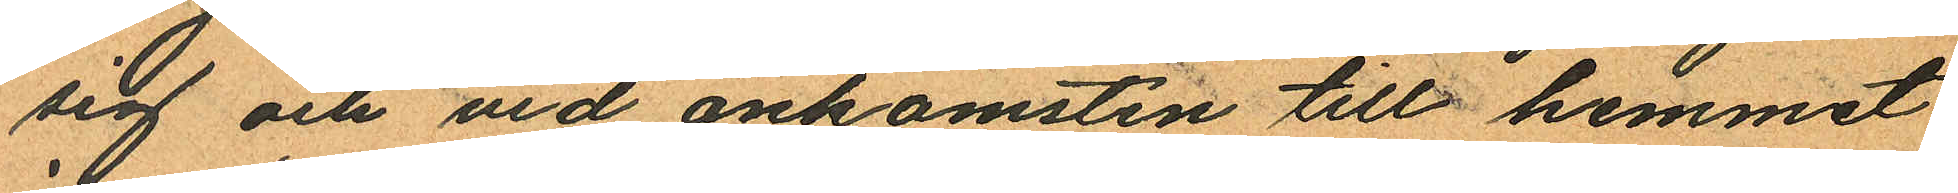sig och vid ankomsten till hemmet
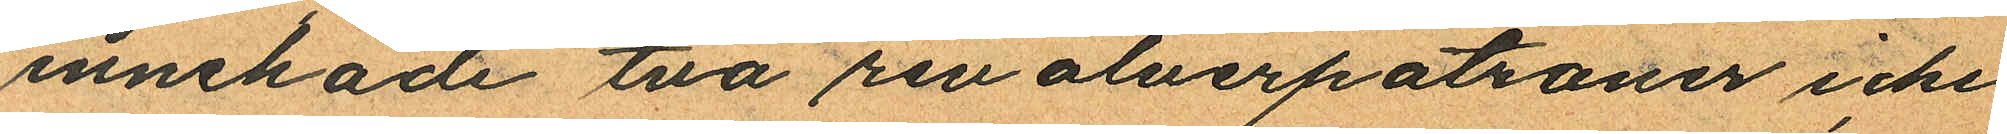innehade två revolverpatroner icke
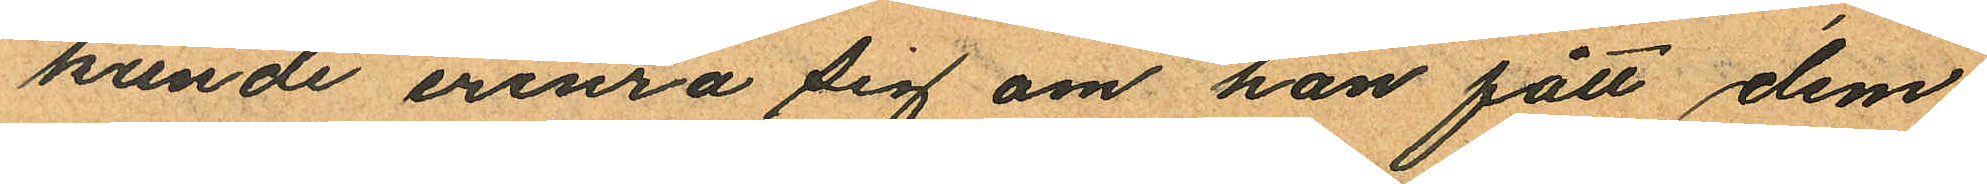kunde erinra sig om han fått dem
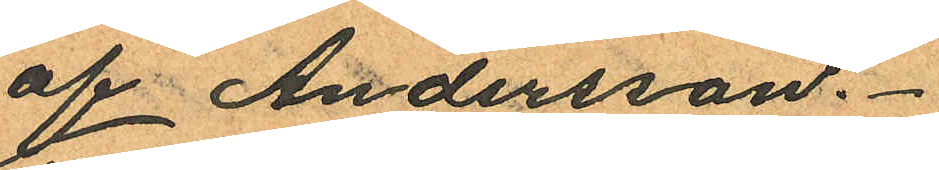af Andersson.
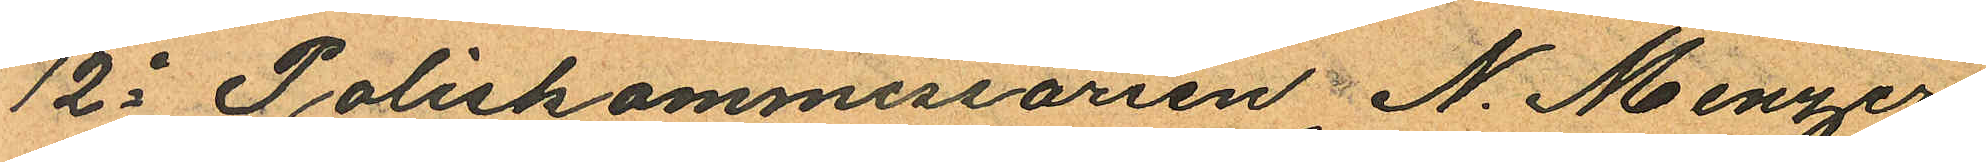12o Poliskommissarien N. Menzer
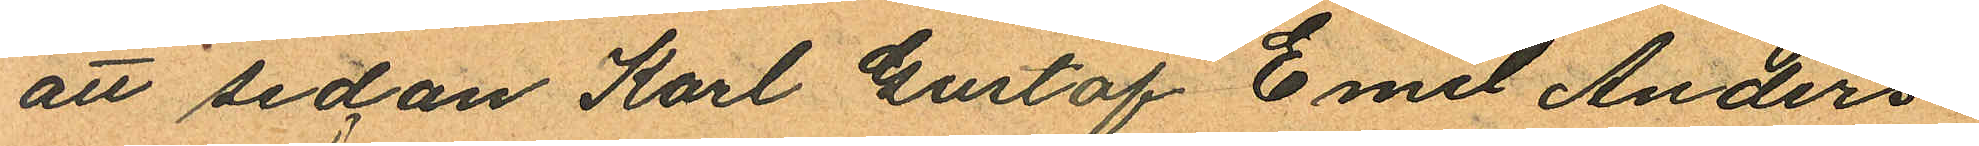att sedan Karl Gustaf Emil Anders
